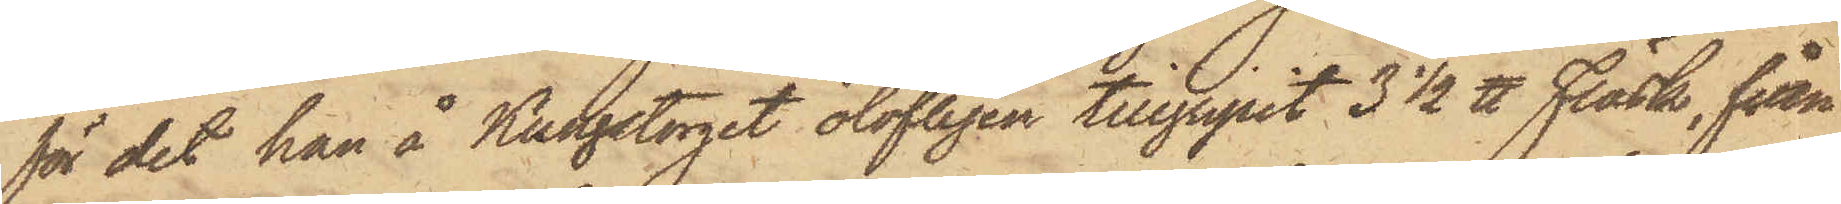för det han å Kungstorget olofligen tillgripit 3 1/2 ℔ Fläsk, från
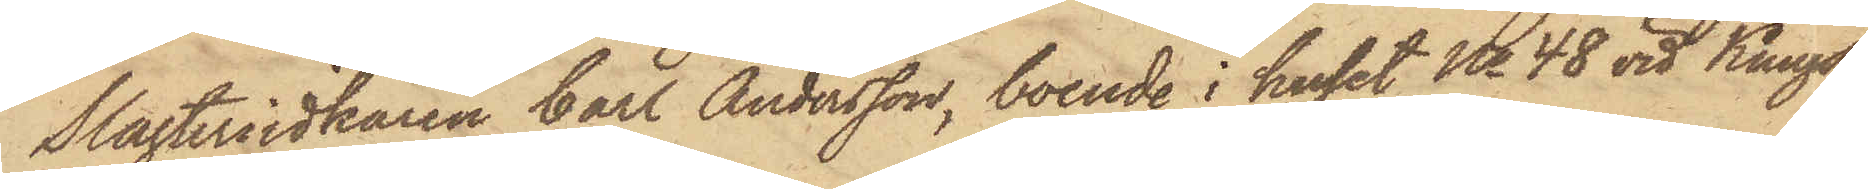Slagteriidkaren Carl Andersson, boende i huset No 48 vid Kungs¬
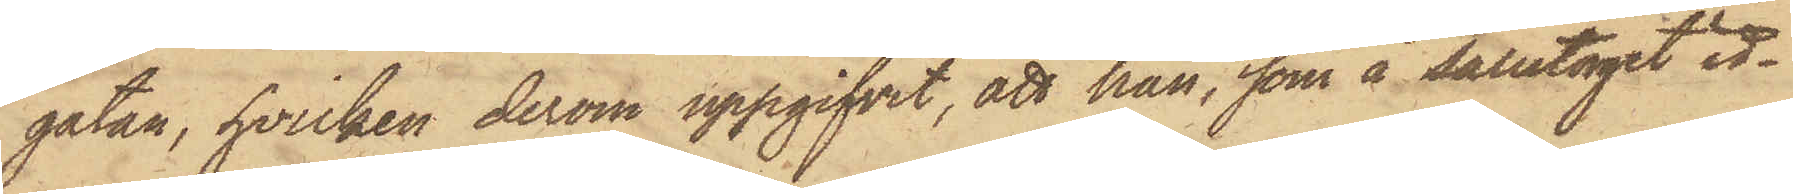gatan, hvilken derom uppgifvit, att han, som å Salutorget id¬
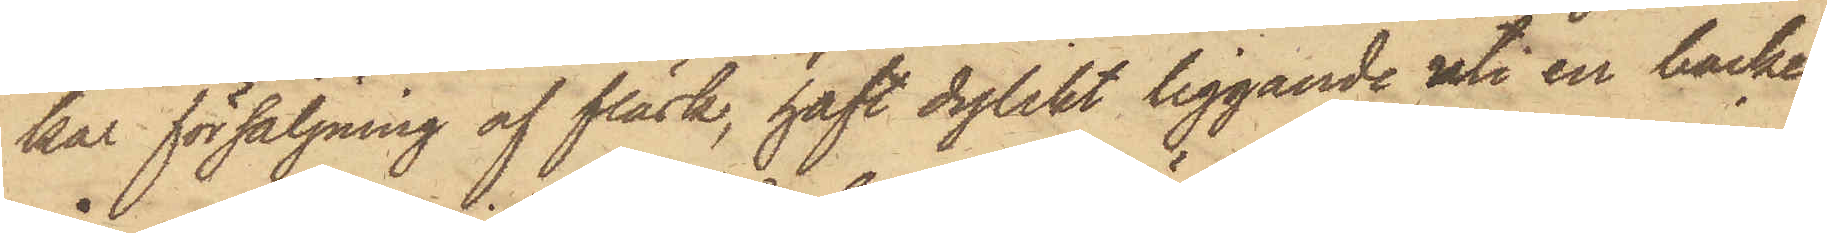kar försäljning af fläsk, haft dylikt liggande uti en backe
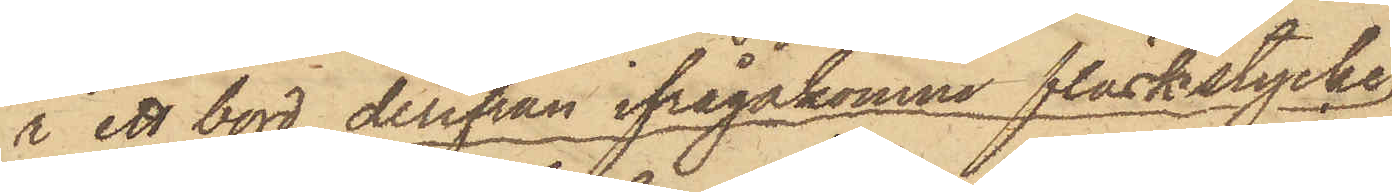å ett bord, derifrån ifrågakomne fläskstycke,
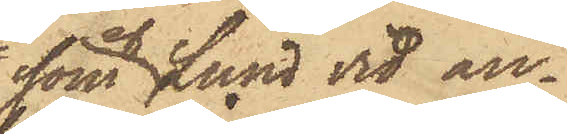som af Lund vid an¬
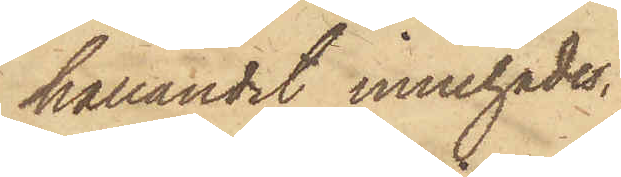hållandet innehades,
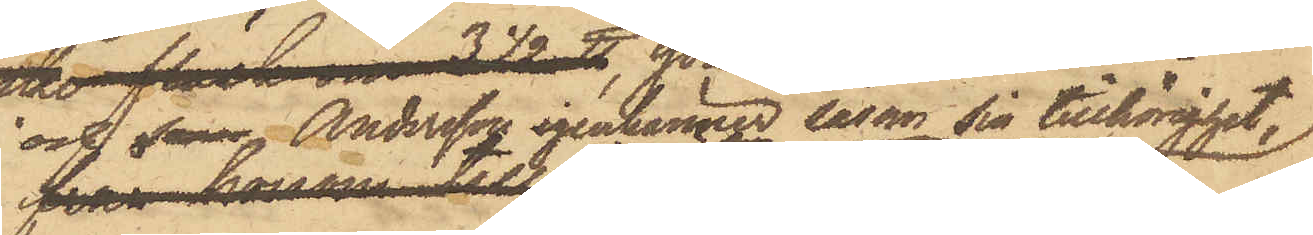Andersson igenkänner som sin tillhörighet,
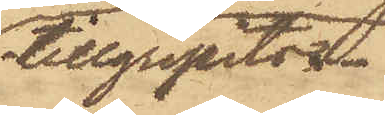tillgripits.
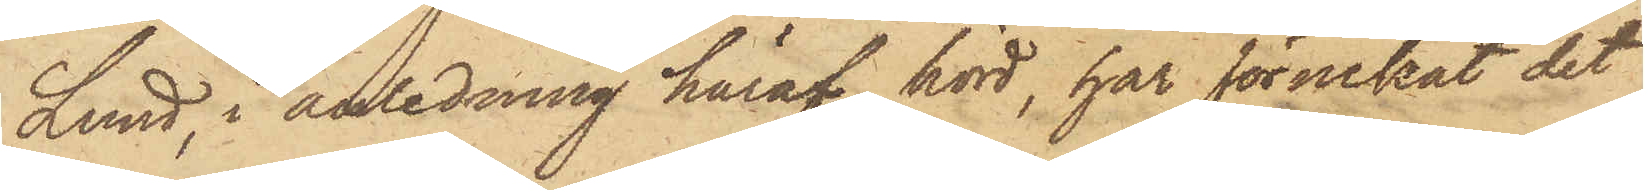Lund, i anledning häraf hörd, har förnekat det
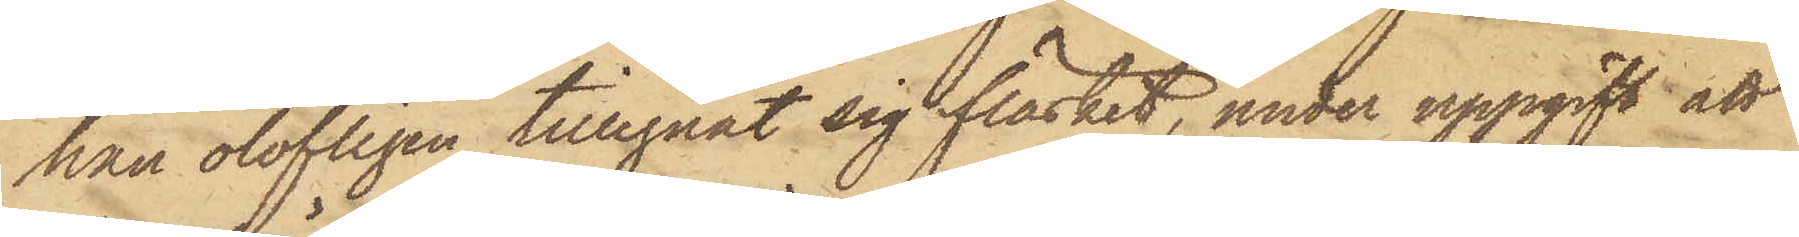han olofligen tillegnat sig fläsket, under uppgift att
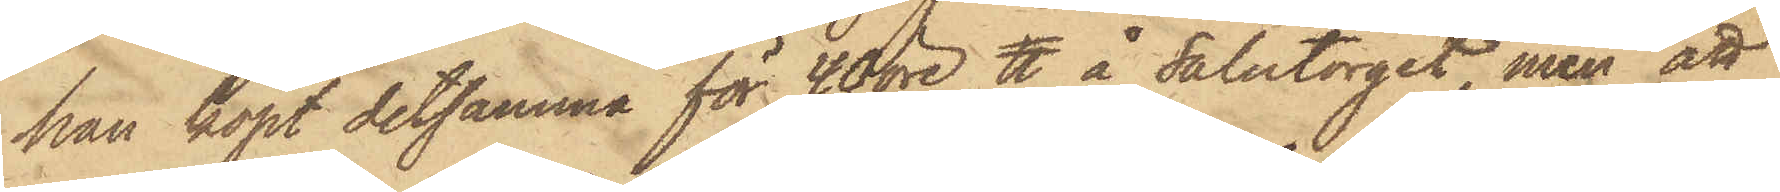han köpt detsamma för 40 öre ℔ å Salutorget, men att
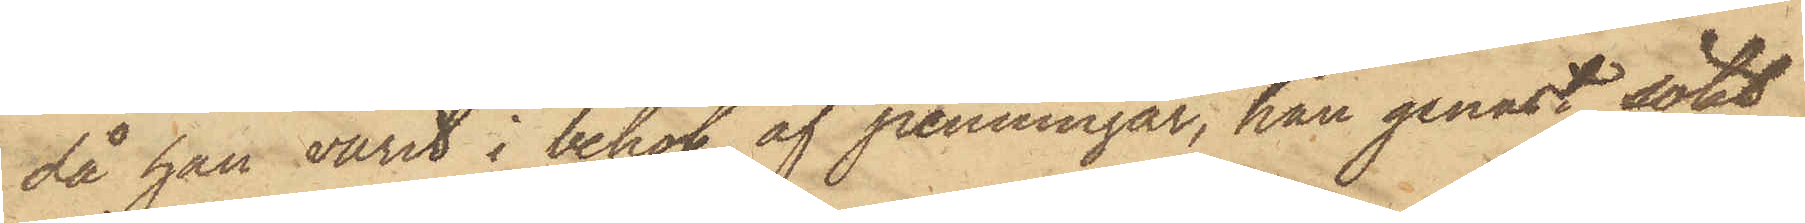då han varit i behof af penningar, han genast sökt
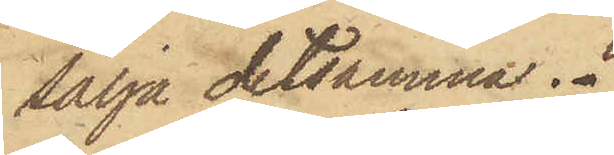sälja detsamma.
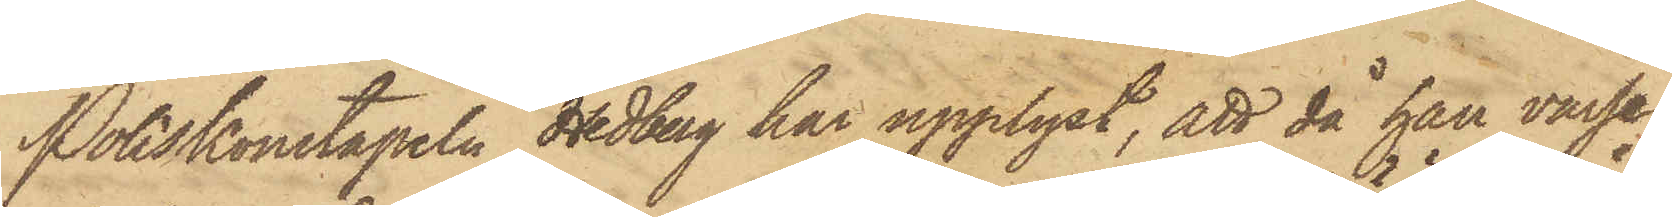Poliskonstapeln Hedberg har upplyst, att då han varse¬
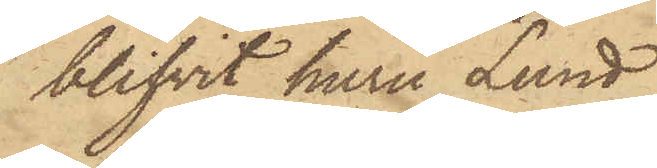blifvit huru Lund
